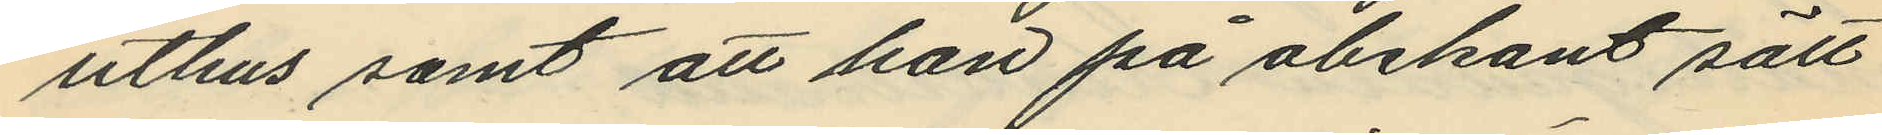uthus samt att han på obekant sätt
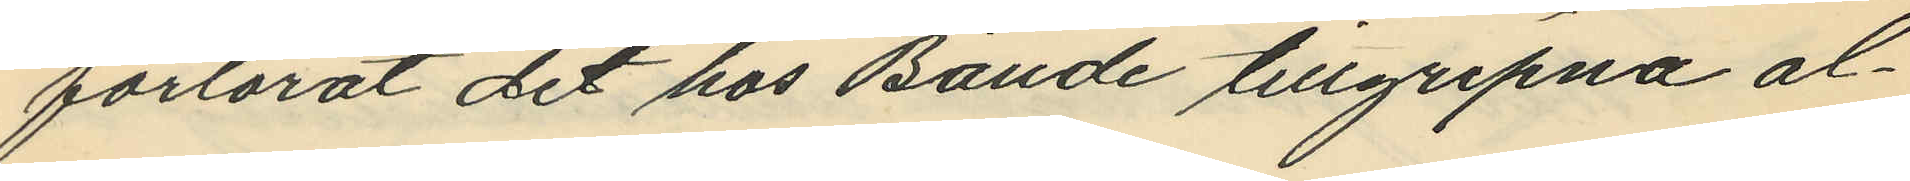förlorat det hos Baude tillgripna al¬
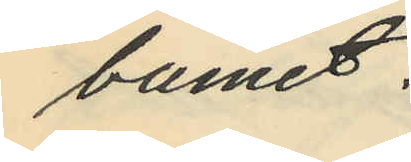bumet.
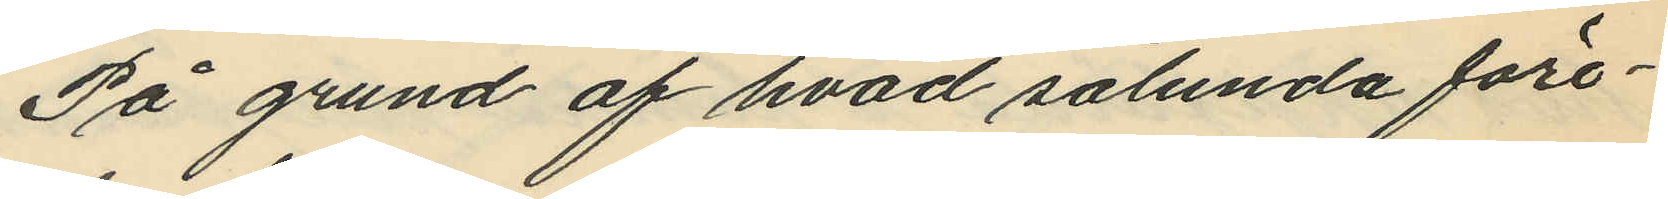På grund af hvad sålunda före¬
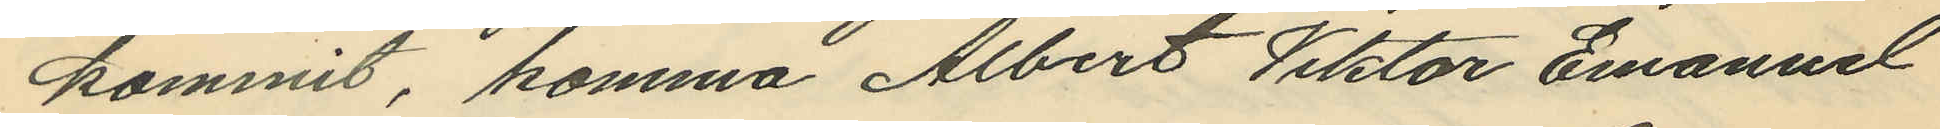kommit, komma Albert Viktor Emanuel
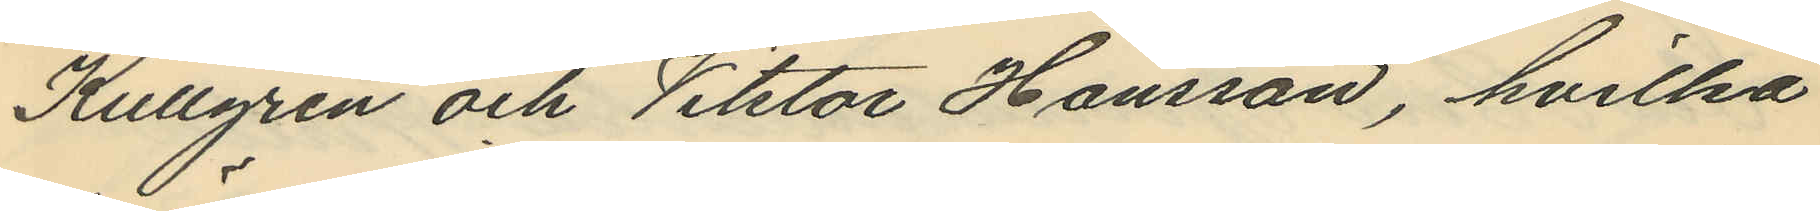Kullgren och Viktor Hansson, hvilka
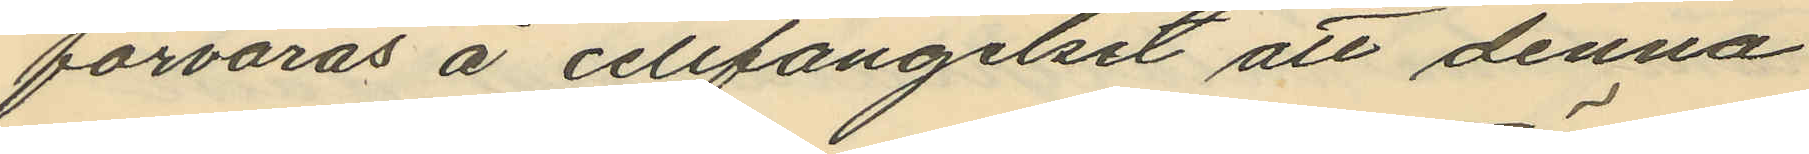förvaras å cellfängelset att denna
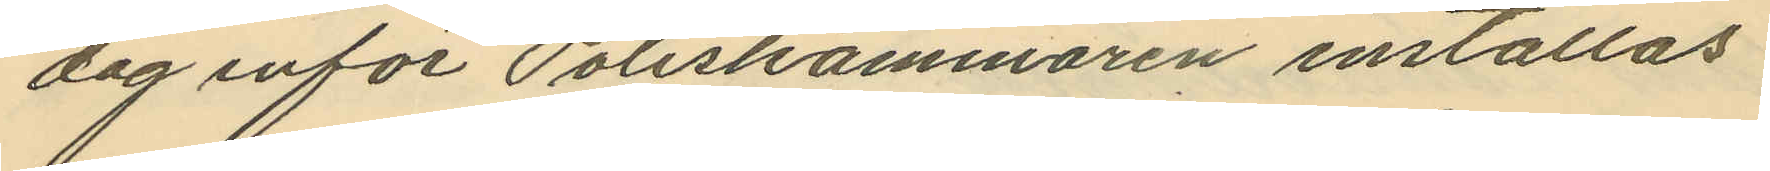dag inför Poliskammaren inställas
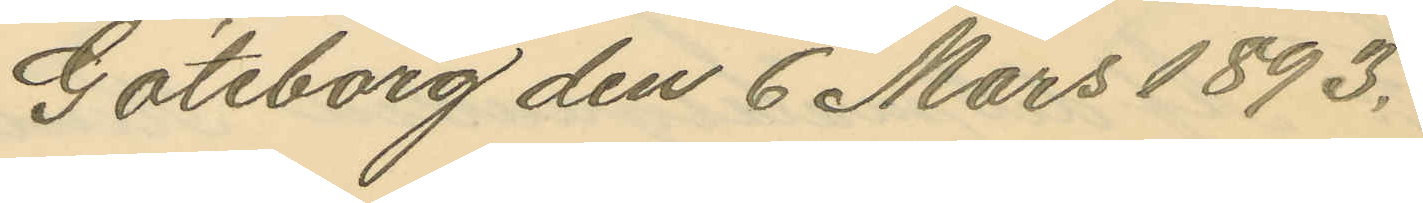Göteborg den 6 Mars 1893.
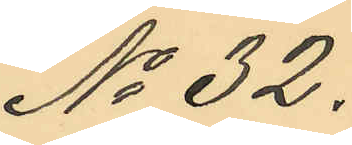No 32.
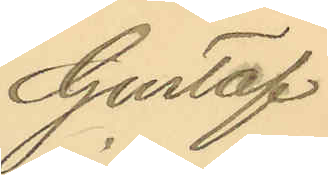Gustaf
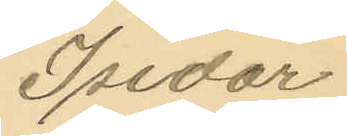Isidor
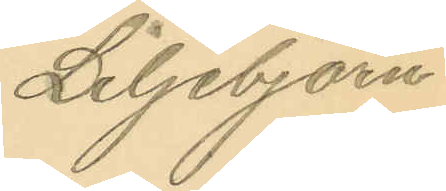Liljebjörn
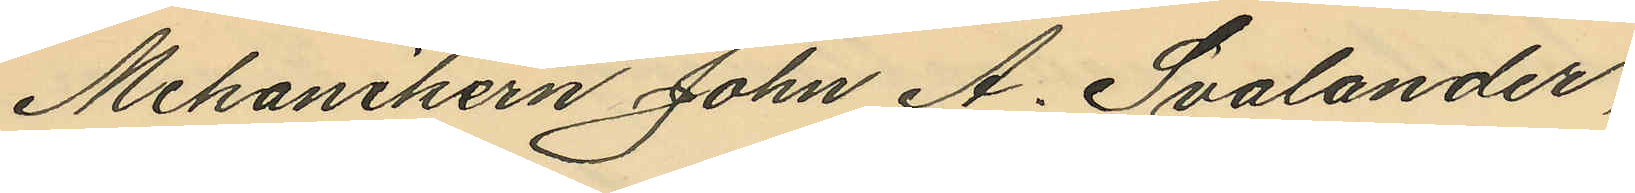Mekanikern John A. Svalander,
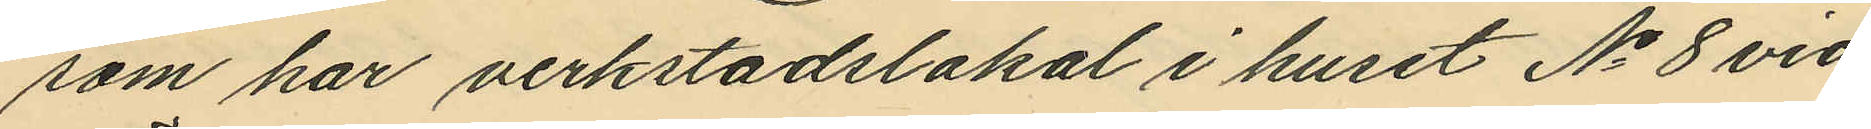som har verkstadslokal i huset No 8 vid
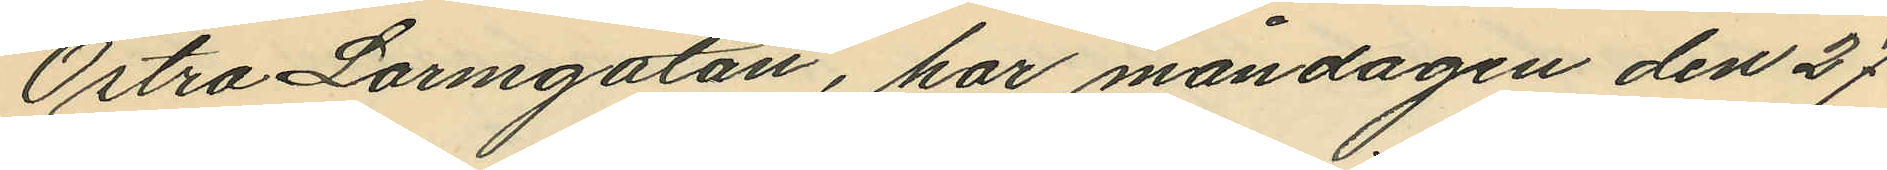Östra Larmgatan, har måndagen den 27
